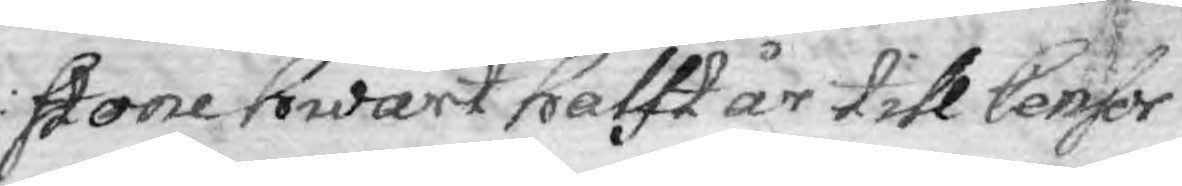stone hwart halft år till Censor
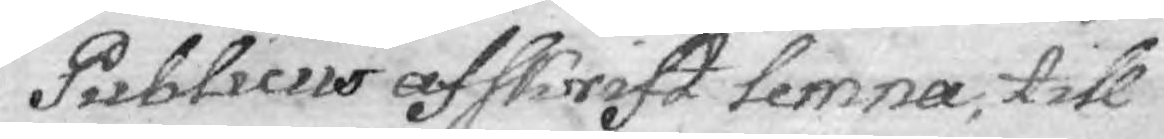Publicus afskrift lemna, till
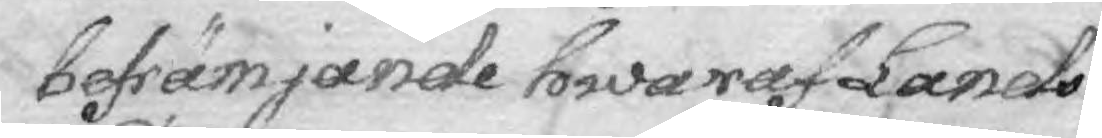befrämjande hwaraf Lands
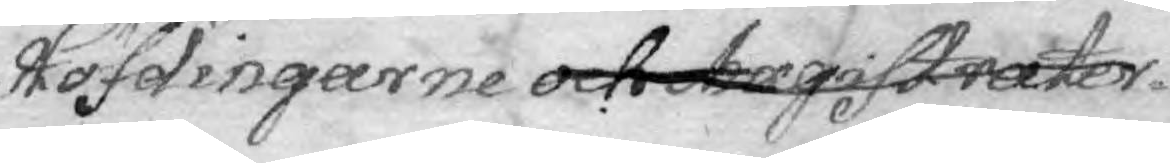Höfdingarne och Magistrater
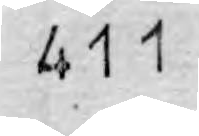411
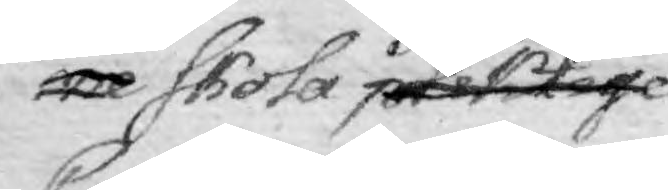ne skola pliktige
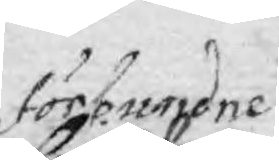förbundne
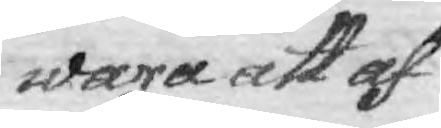wara att af
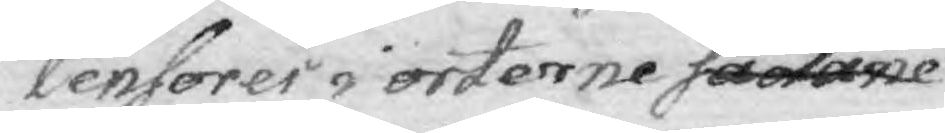Censorer i orterne sådane
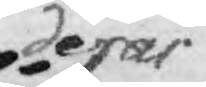deras
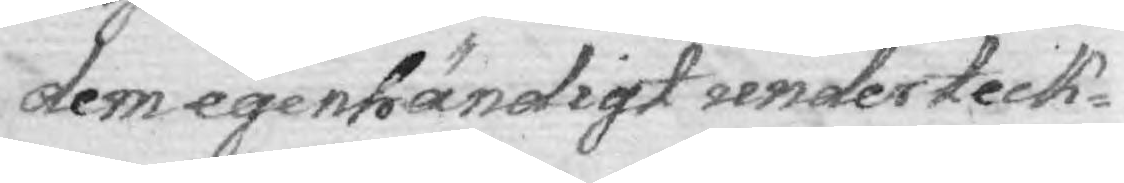dem egenhändigt underteck¬
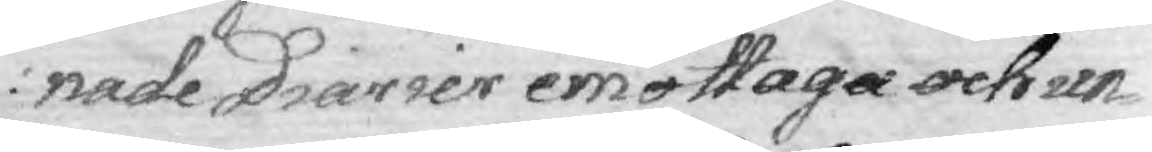nade Diarier emottaga och un¬
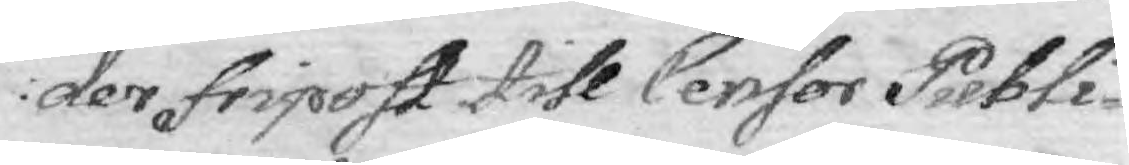der fripost till Censor Publi¬
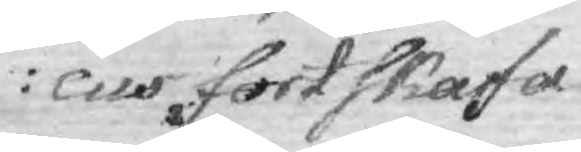cus fortskafa.
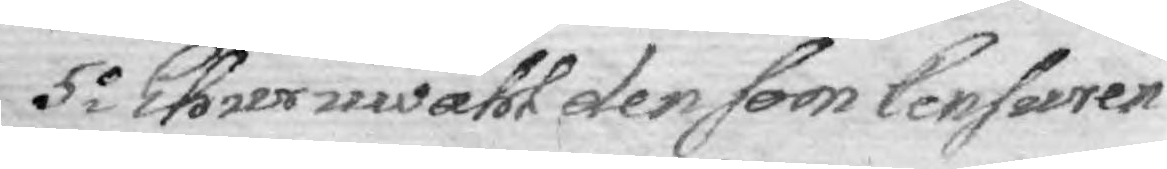5o Ehur wähö den som Censuren
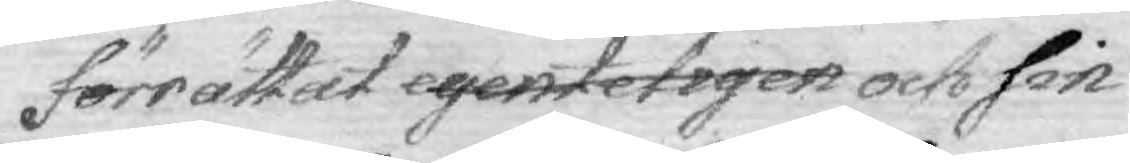förrättat egenteligen och sin
